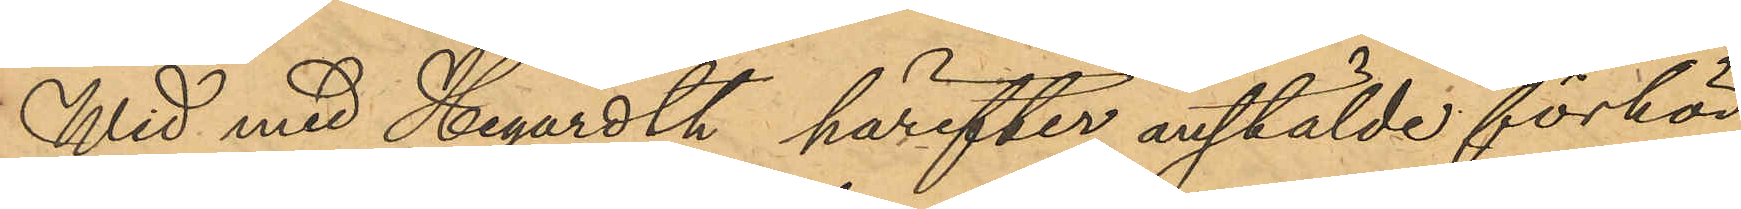Wid med Hegardth härefter anstälde förhör
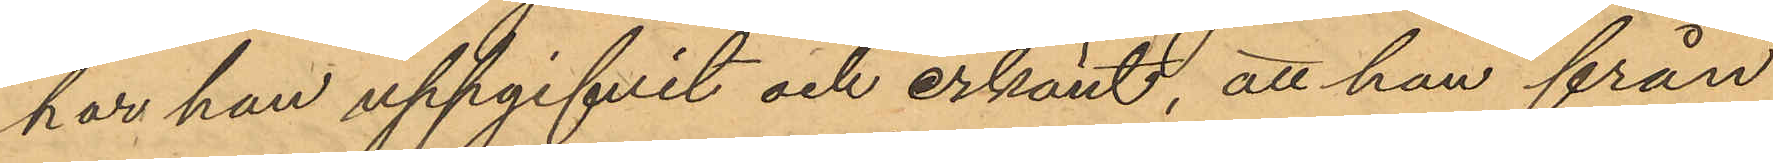har han uppgifvit och erkänt, att han från
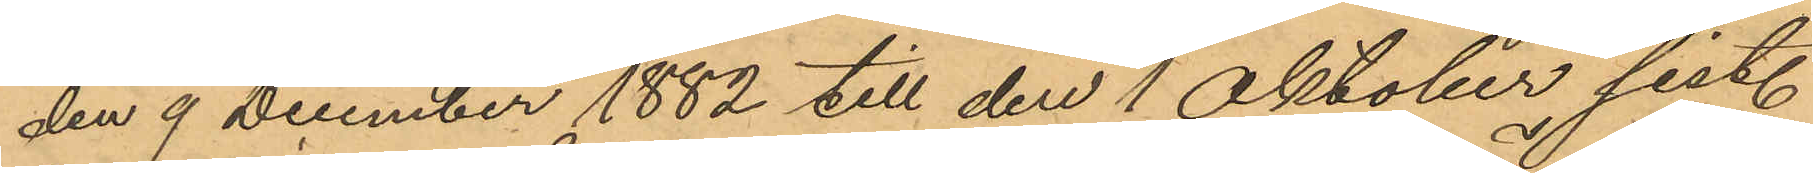den 9 December 1882 till den 1 Oktober sist.
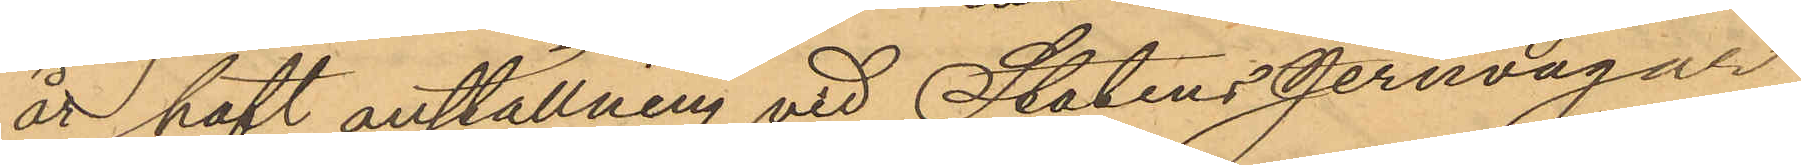år haft anställning vid Statens Jernvägar
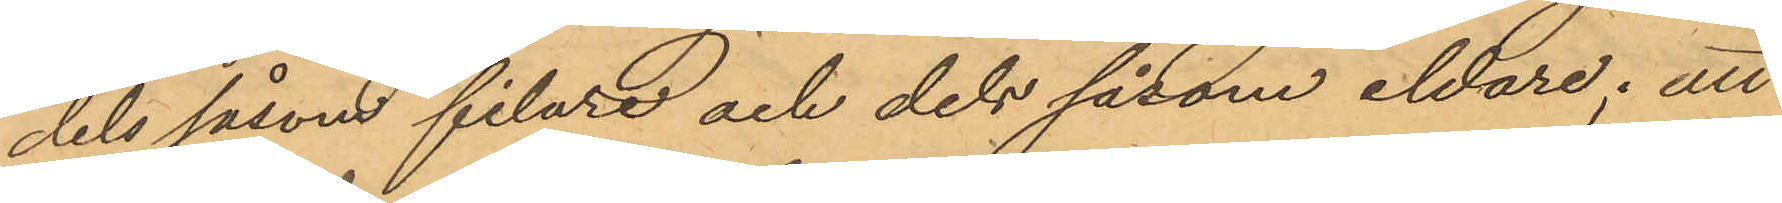dels såsom filare och dels såsom eldare; att
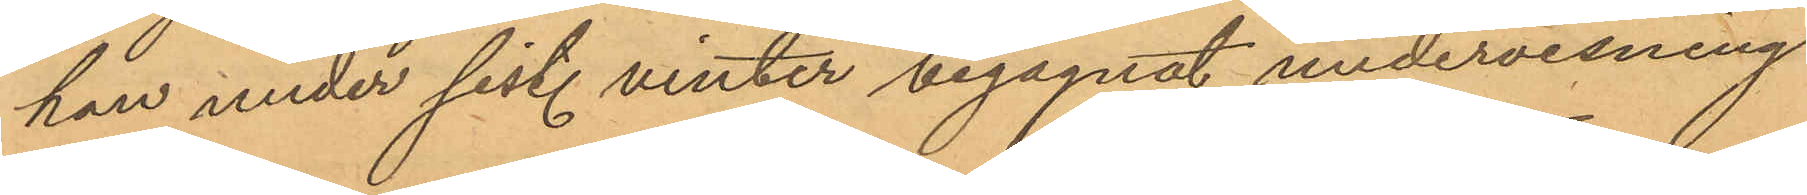han under sist. vinter begagnat undervisning
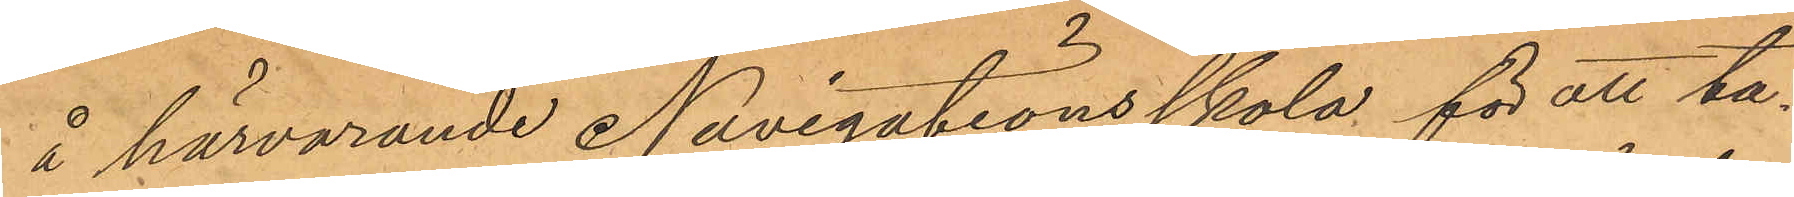å härvarande Navigationsskola för att ta¬
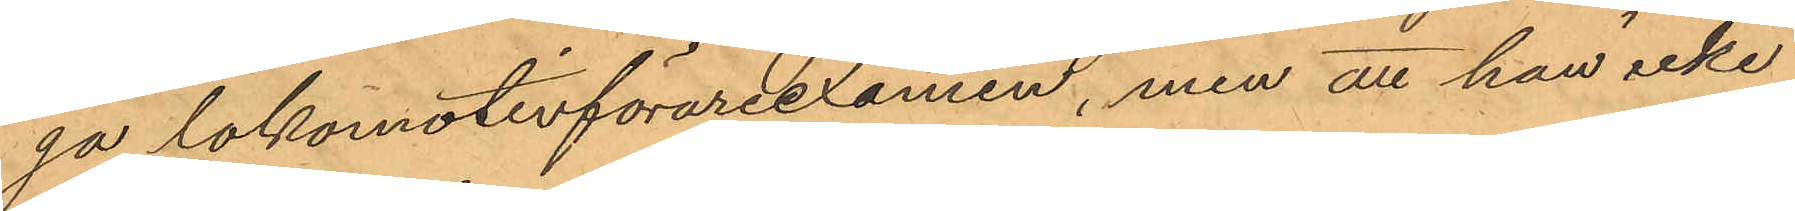ga lokomotivförareexamen, men att han icke
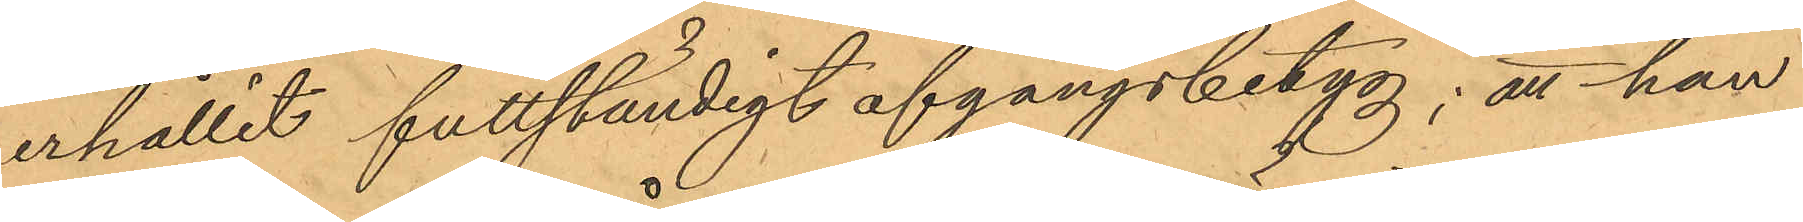erhållit futtständigt afgångsbetyg; att han
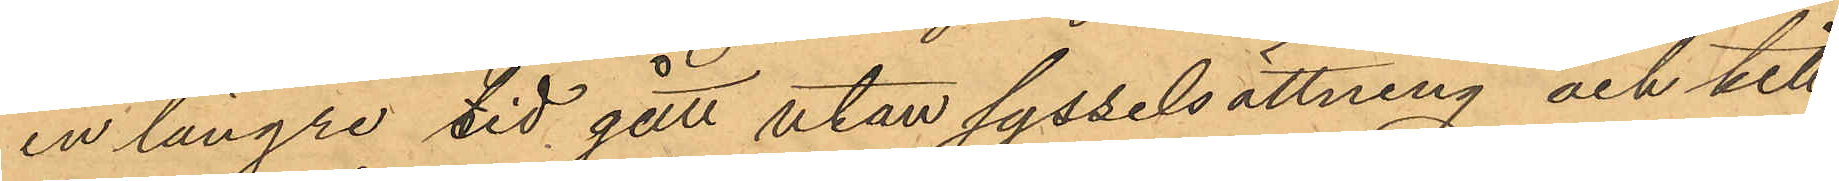en längre tid gått utan sysselsättning och till¬
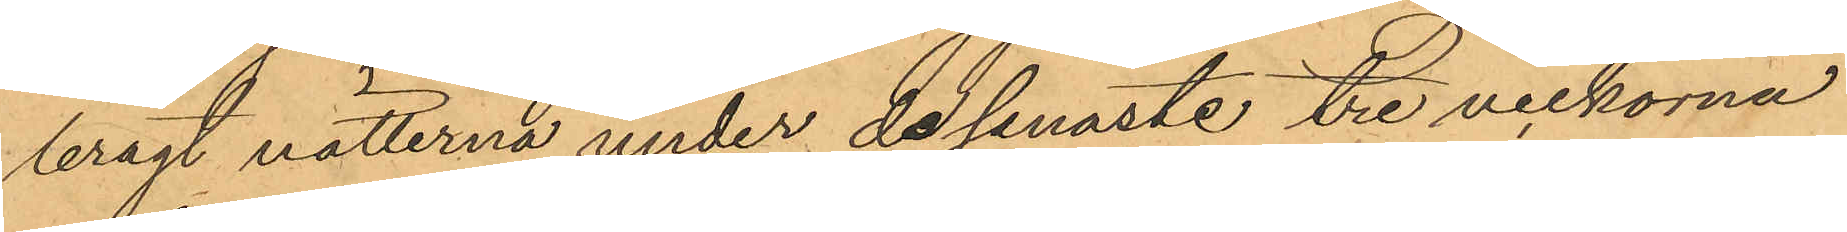bragt nätterna under de senaste tre veckorna
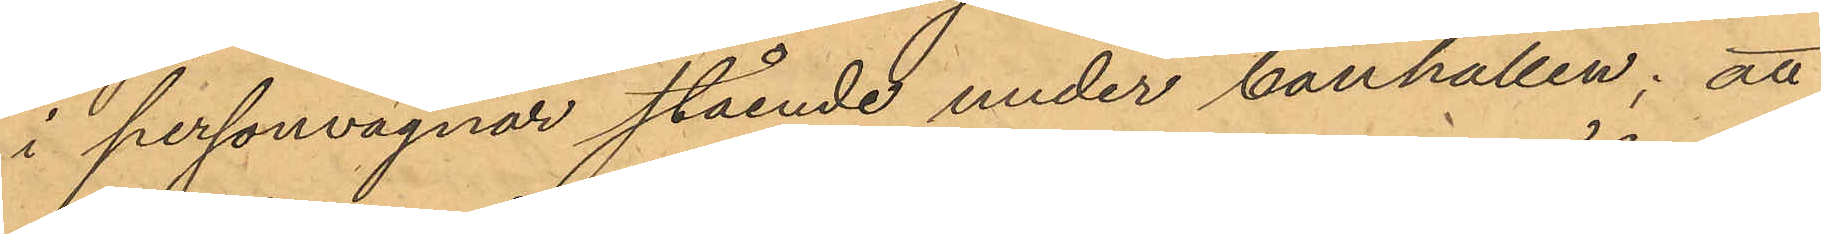i personvagnar stående under banhallen; att
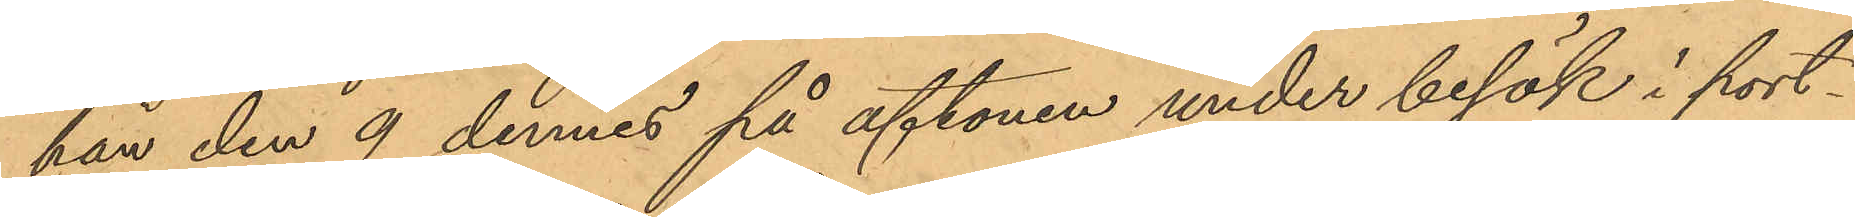han den 9 dennes på aftonen under besök i port¬
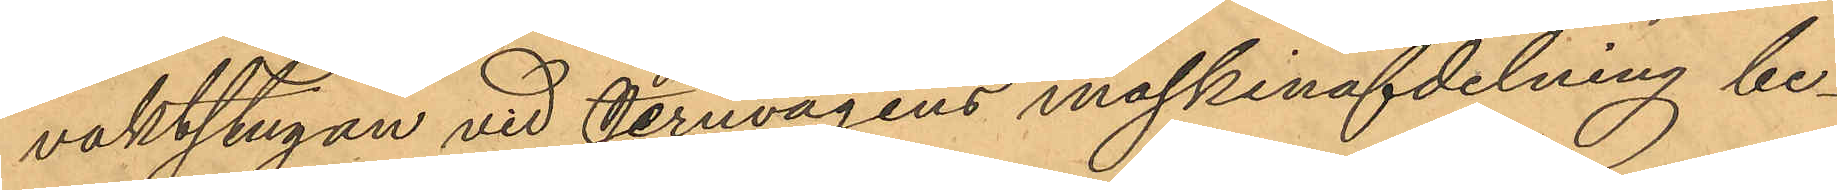vaktstugan vid Jernvägens maskinafdelning be¬
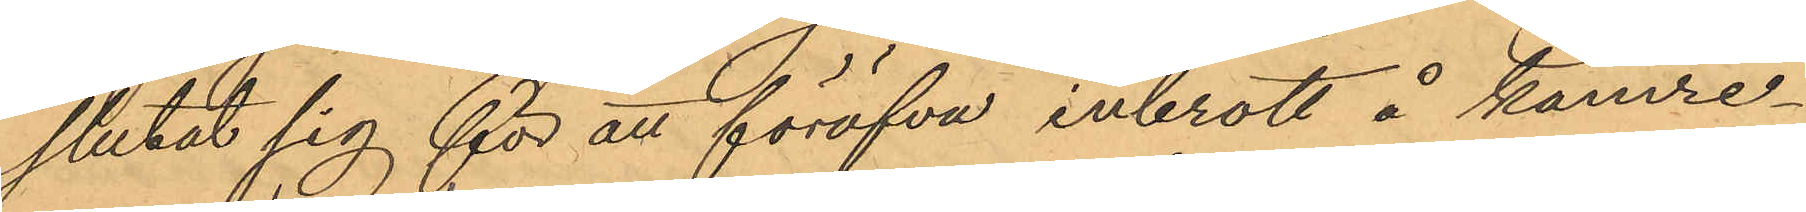slutat sig för att föröfva inbrott å kamre¬
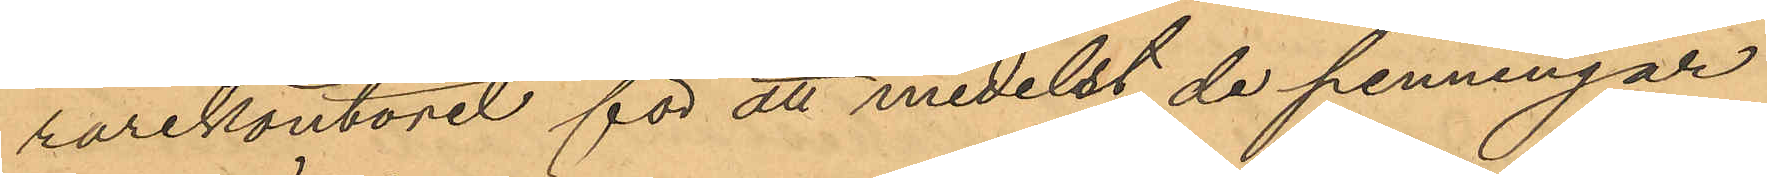rarekontoret för att medelst de penningar
